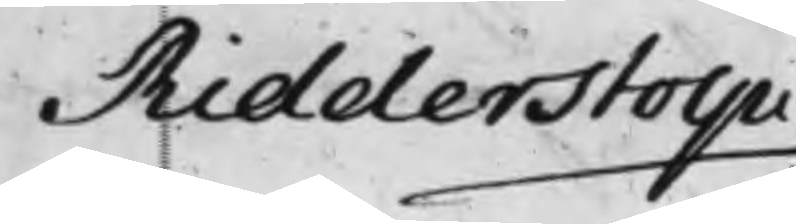Ridderstolpe
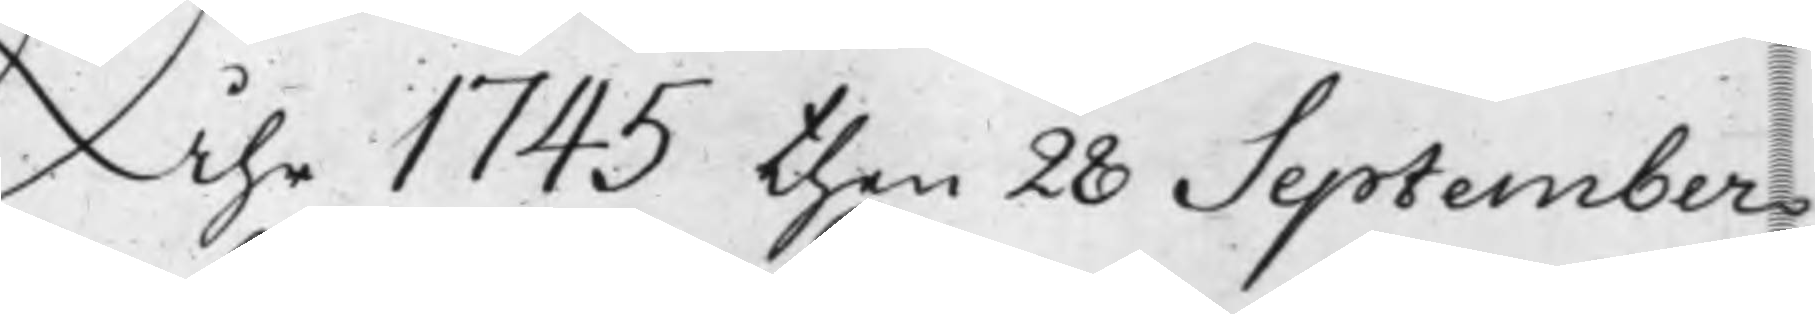Åhr 1745 then 28 September
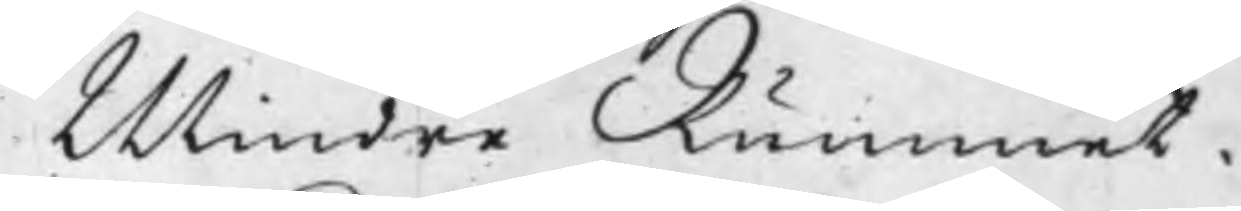Mindre Rummet.
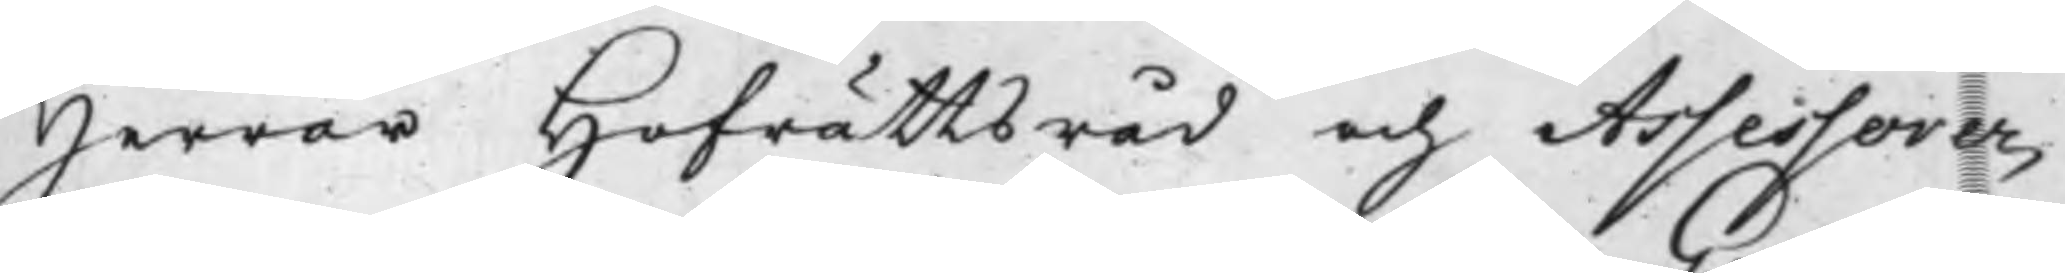Herrar Hofrättsråd och Assessorer,
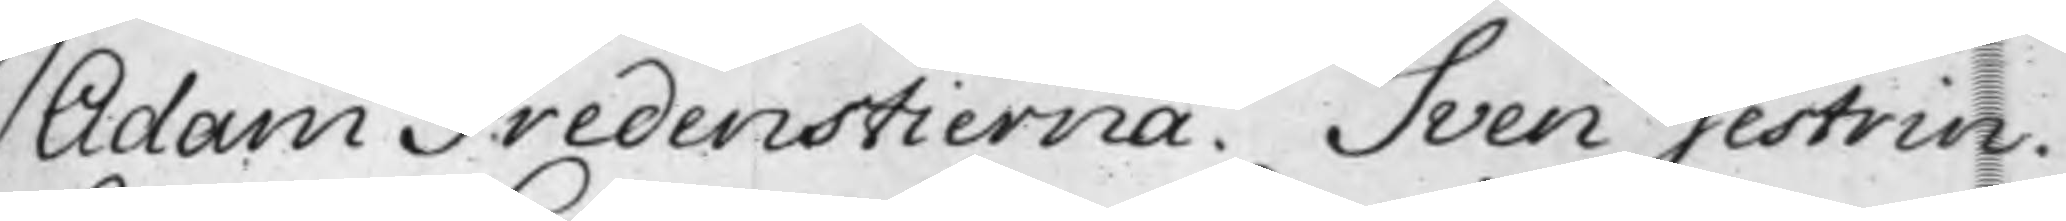Adam Fredenstierna. Sven Gestrin.
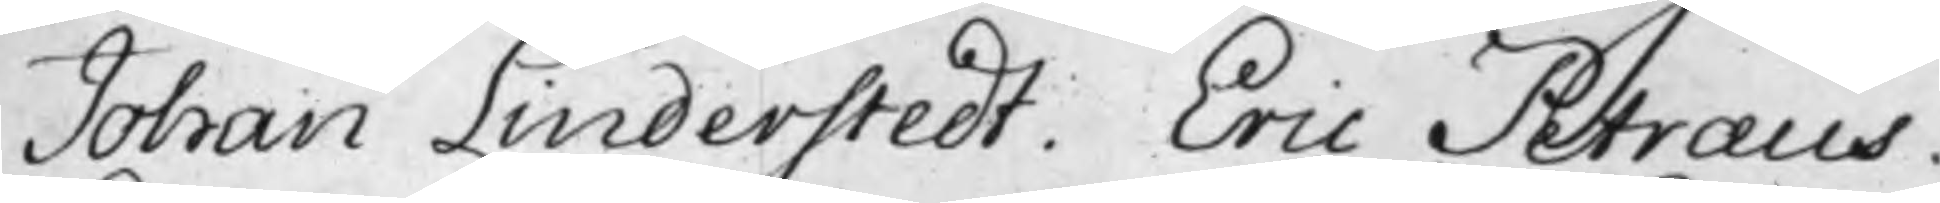Johan Linderstedt. Eric Petræus.
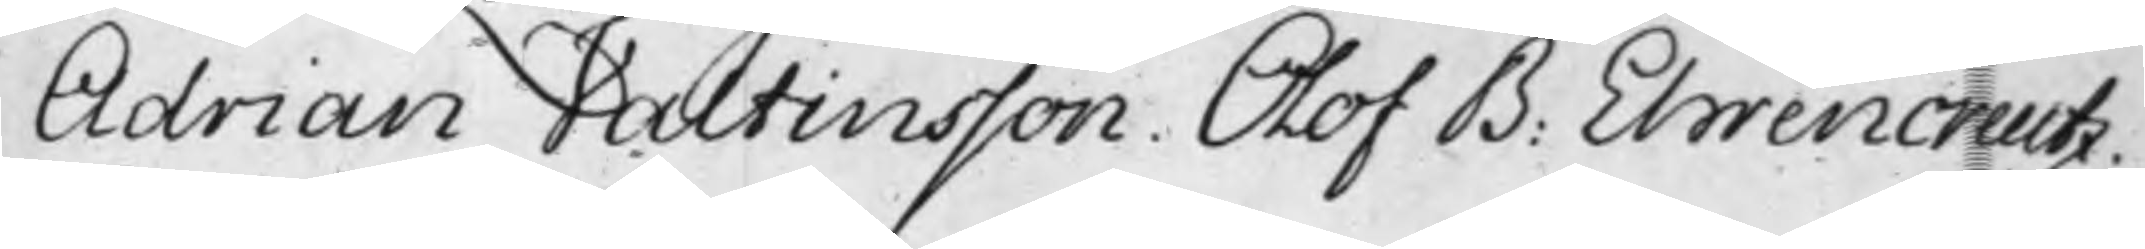Adrian Valtinsson. Olof B. Ehrencreutz.
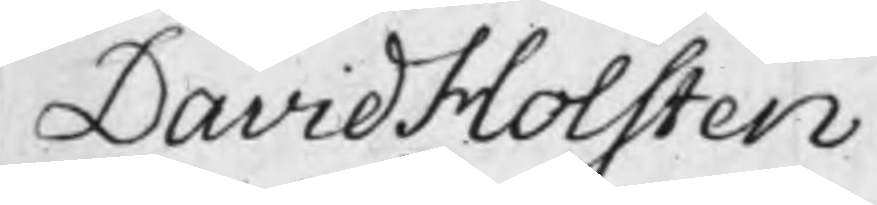David Holsten.
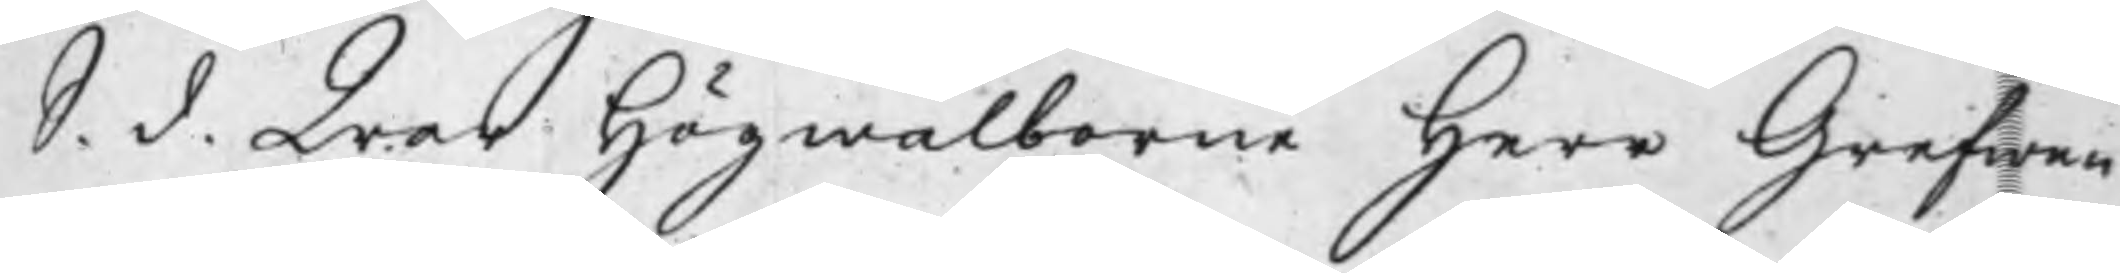S. d. War Högwälborne Herr Grefwen
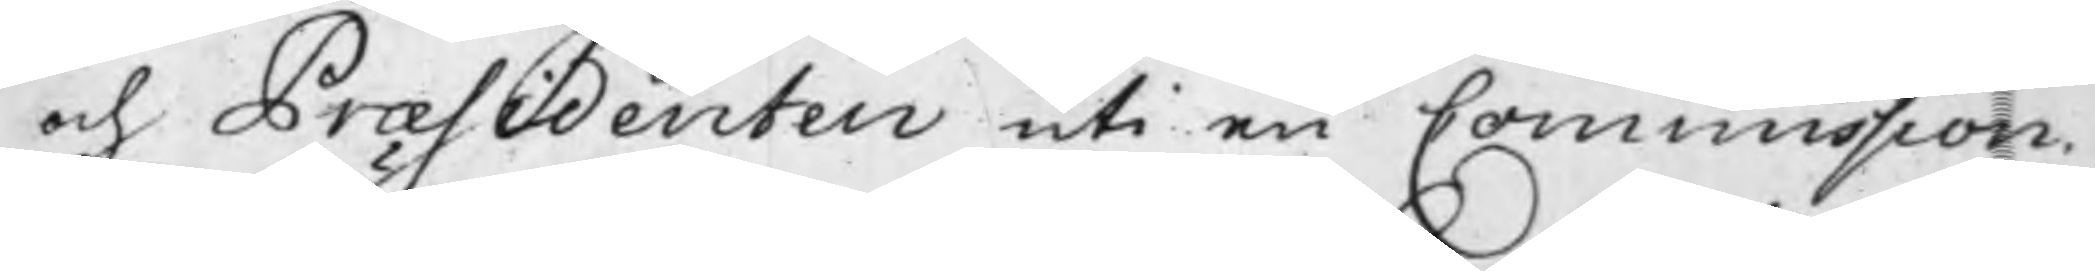och Præsidenten uti en Commission.
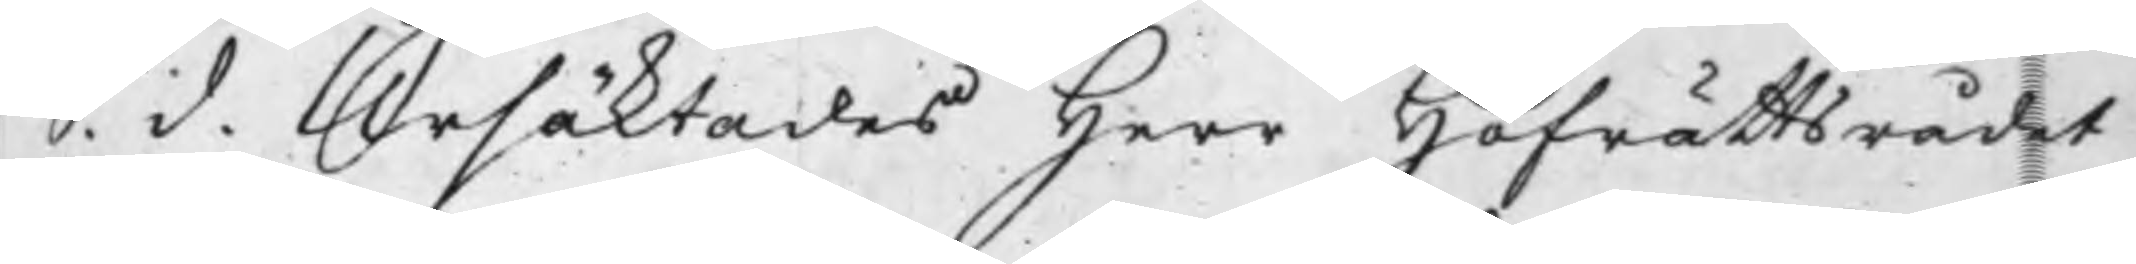S. d. Ursäktades Herr Hofrättsrådet
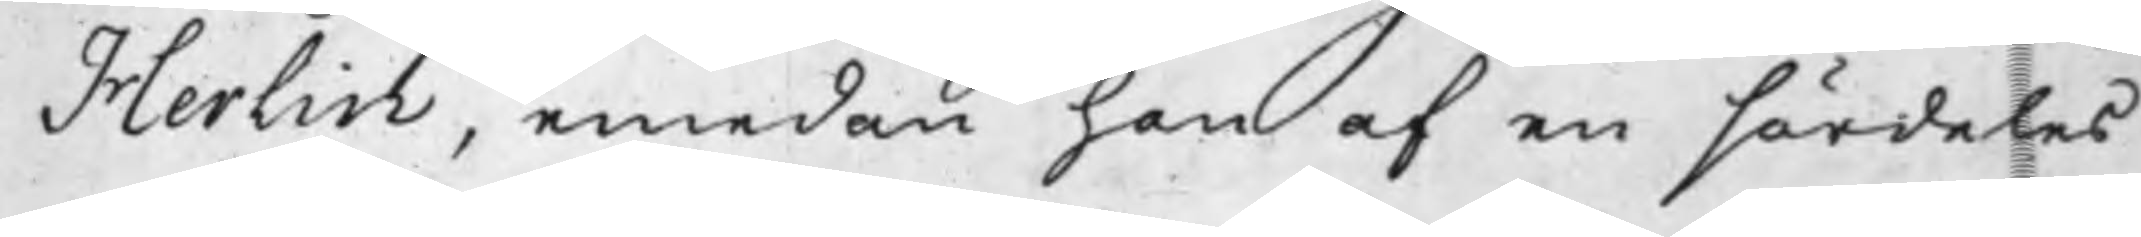Herlin, emedan han af en särdeles
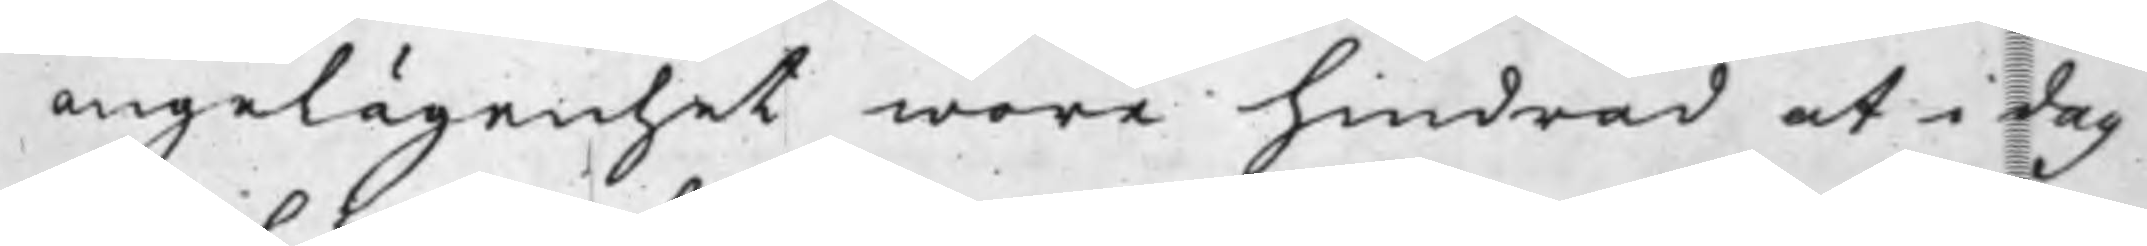angelägenhet wore hindrad at i dag
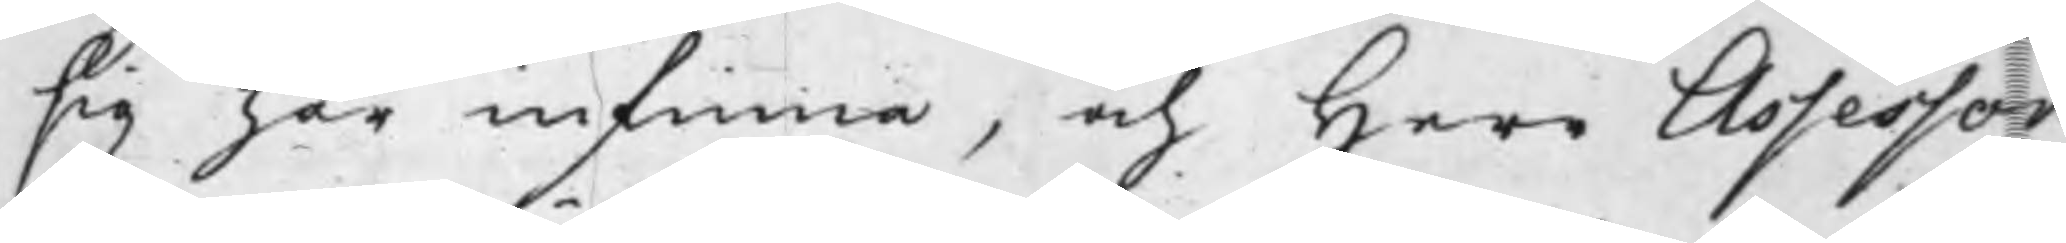sig här infinna, och Herr Assessor
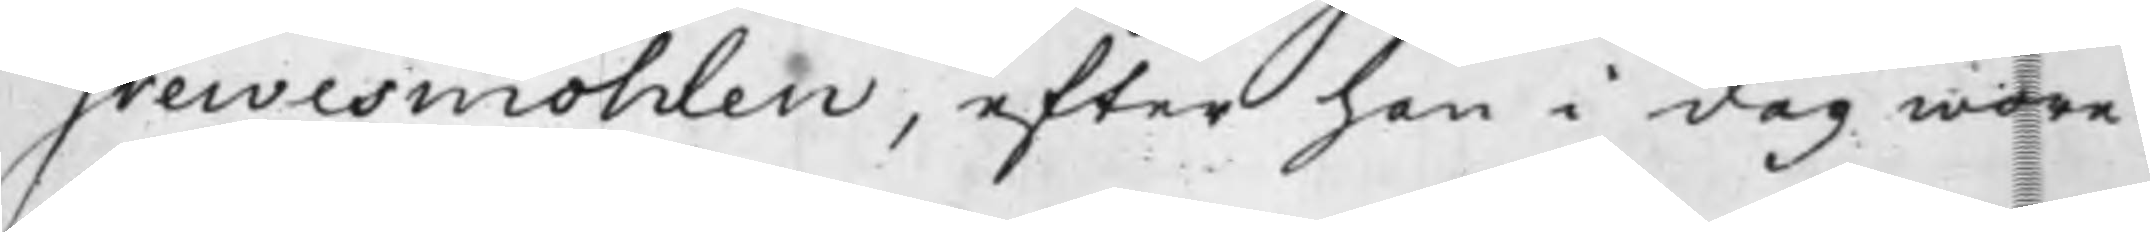Grewesmöhlen, efter han i dag wore
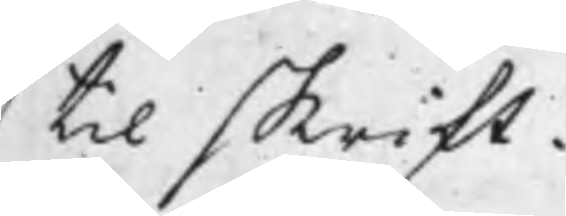til skrift.
